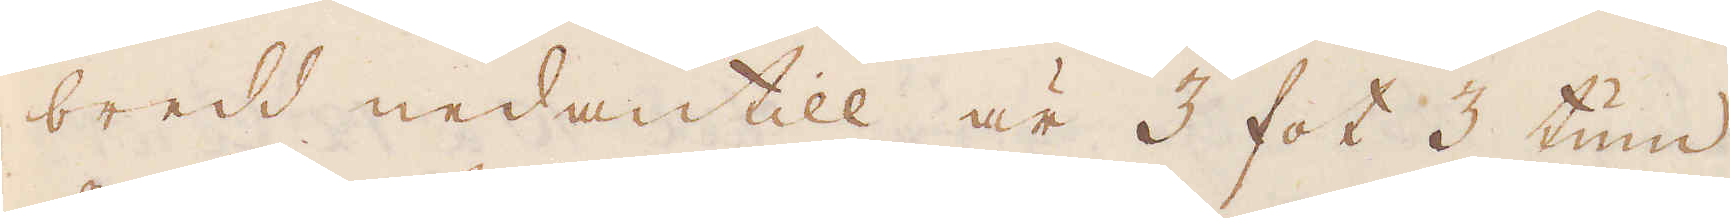bredd nedantill är 3 fot 3 tum
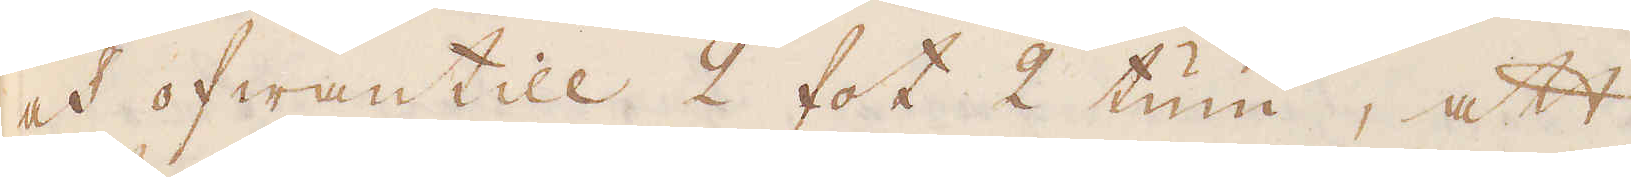och ofwantill 2 fot 2 tum, att
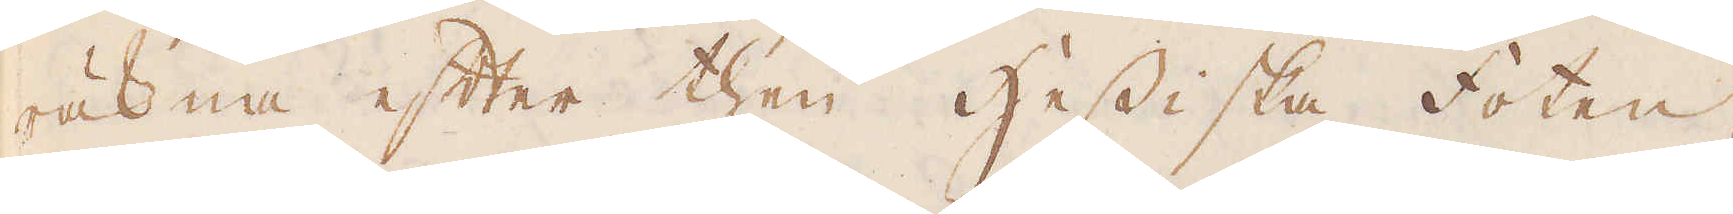räkna efter then Hessiska foten,
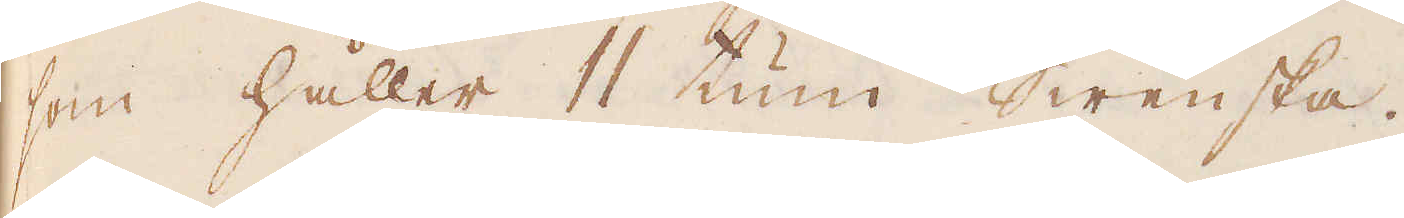som håller 11 tum Swenska.
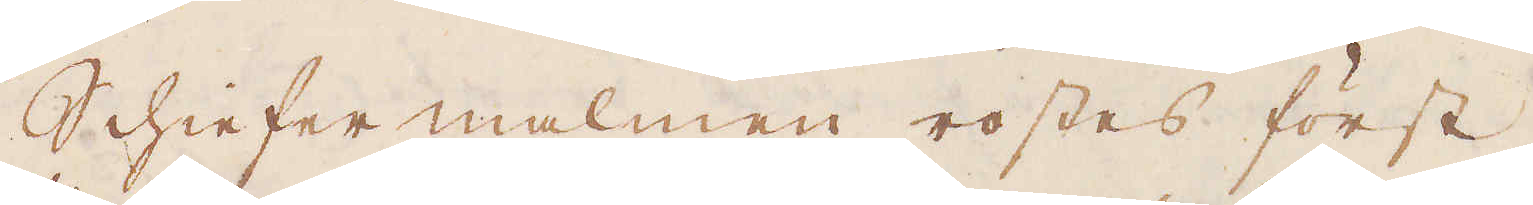Schiefer malmen rostes först,
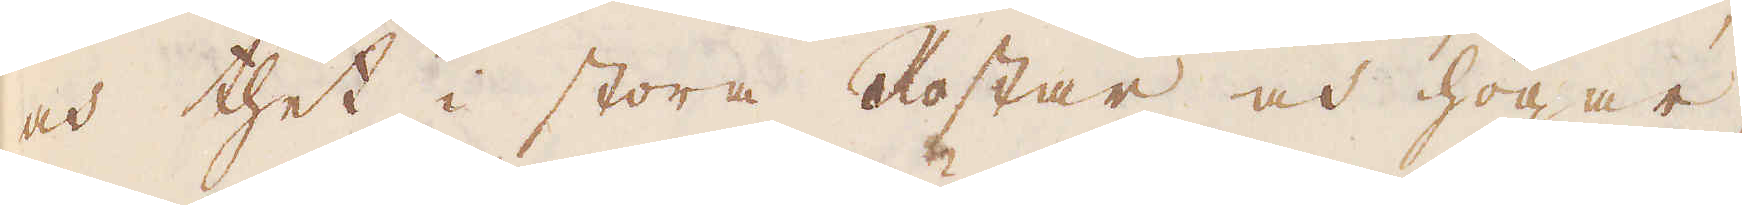och thet i stora Rostar och högar,
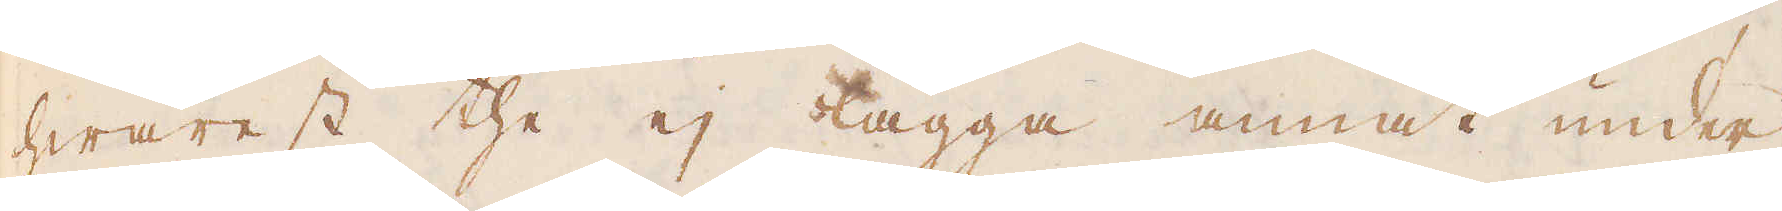hwarest the ej lägga annat under
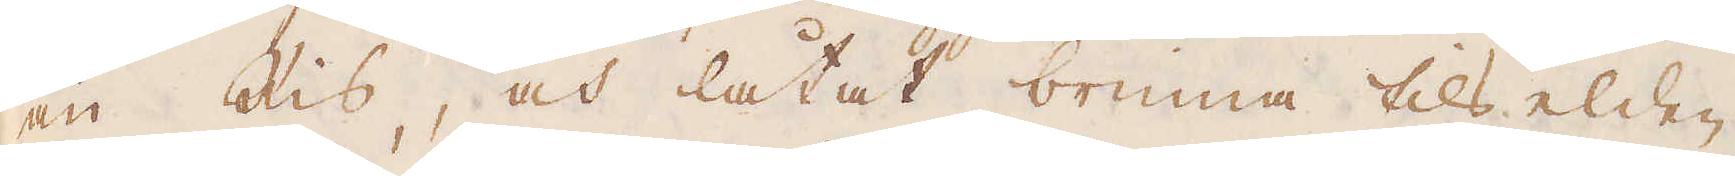än Ris, och låtat brinna tills elden
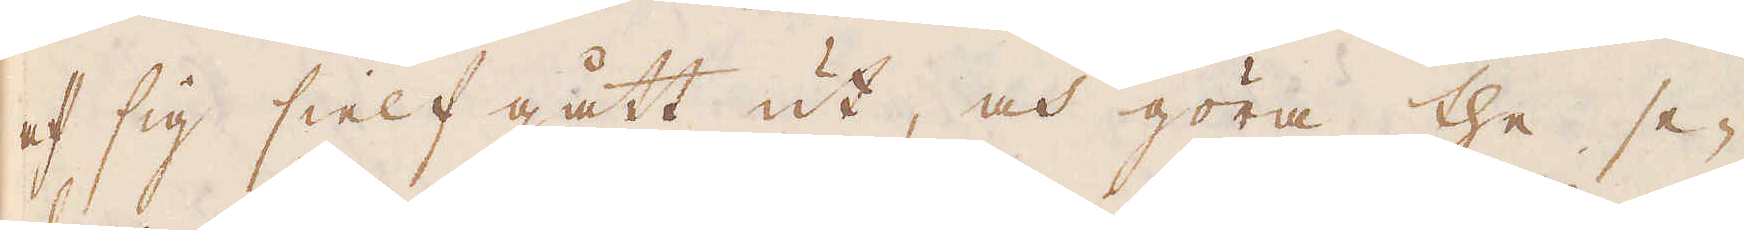af sig sielf gått ut, och göra the se-
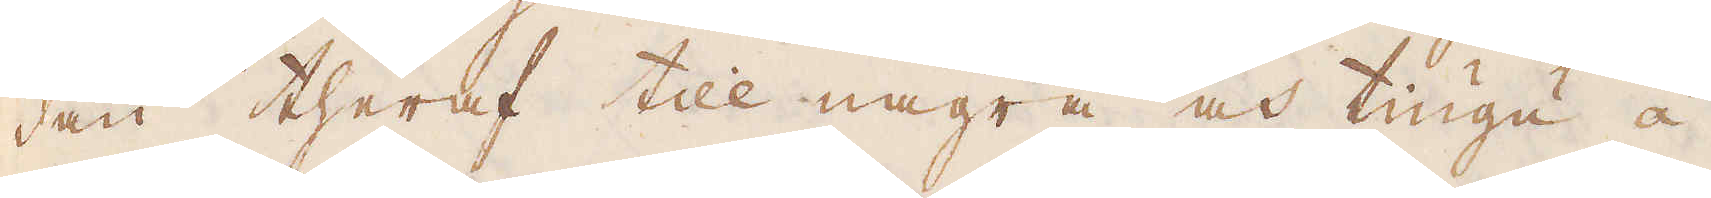dan theraf till några och tiugu á
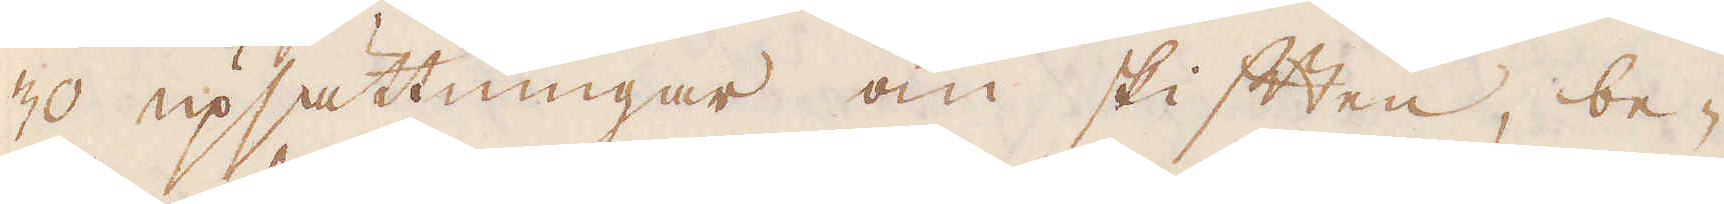30 upsättningar om skiften, be-
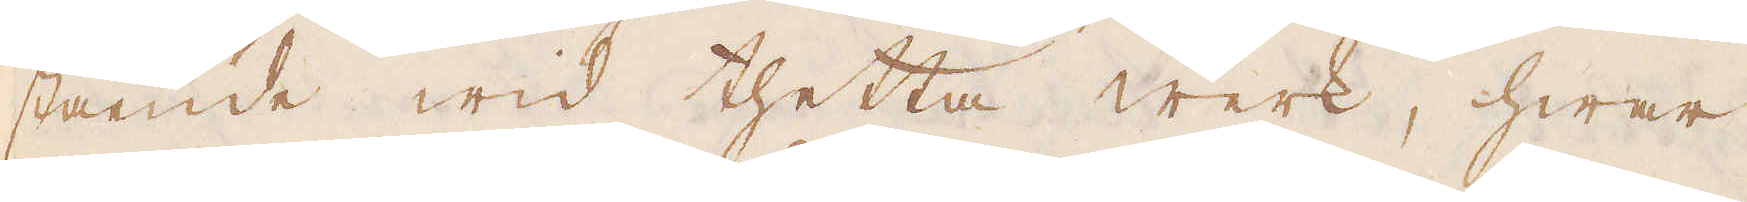stående wid thetta werk, hwar
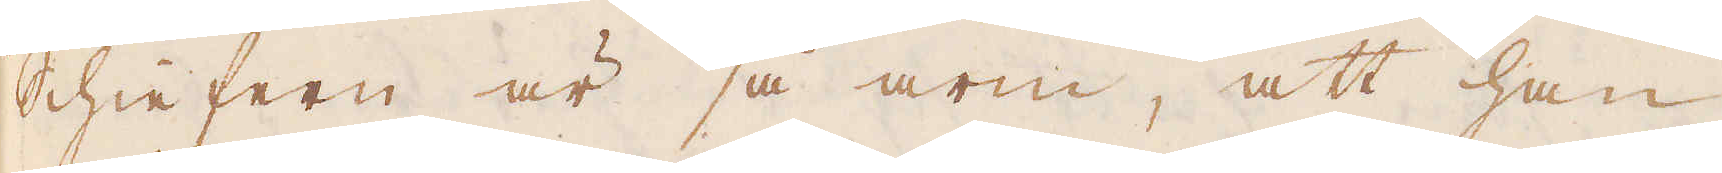Schiefern är så arm, att han
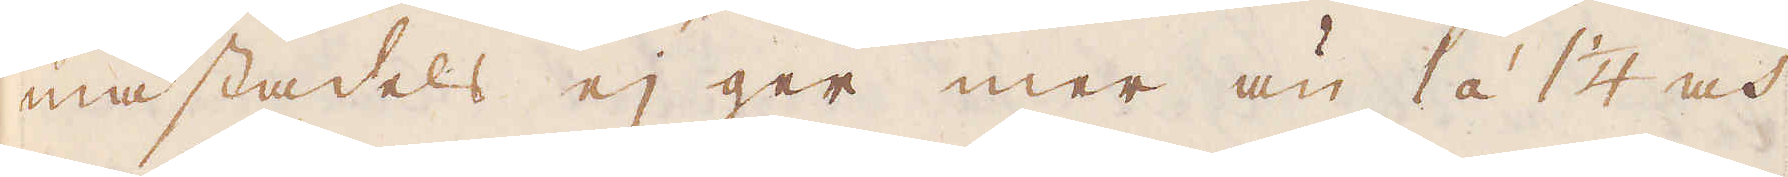mästadels ej ger mer än 1 á 1 1/4 och
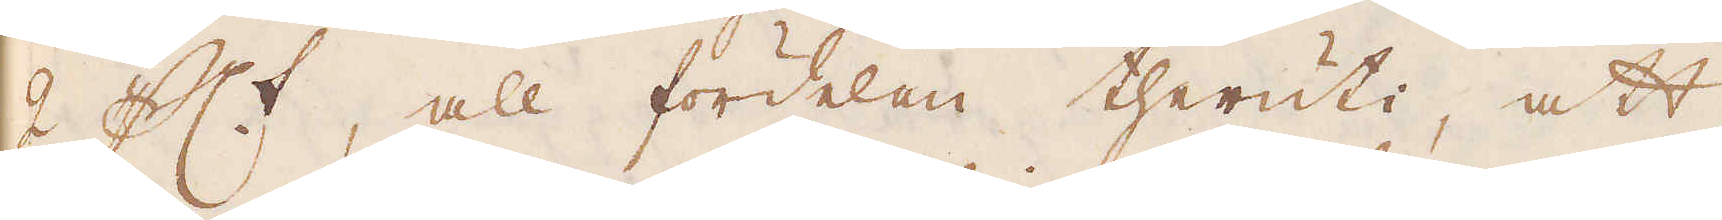2 p c:t, all fördelen theruti, att
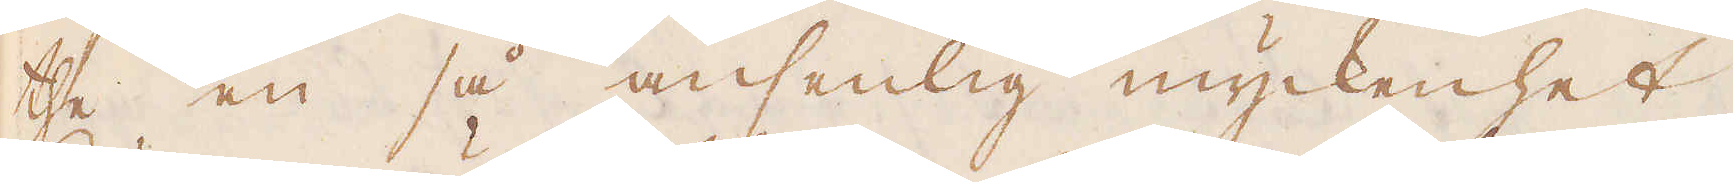the en så ansenlig myckenhet
